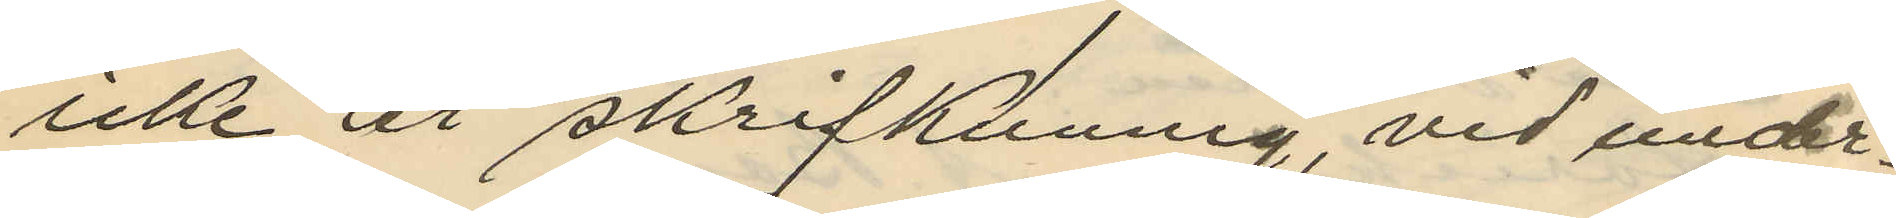icke är skrifkunnig, vid under¬
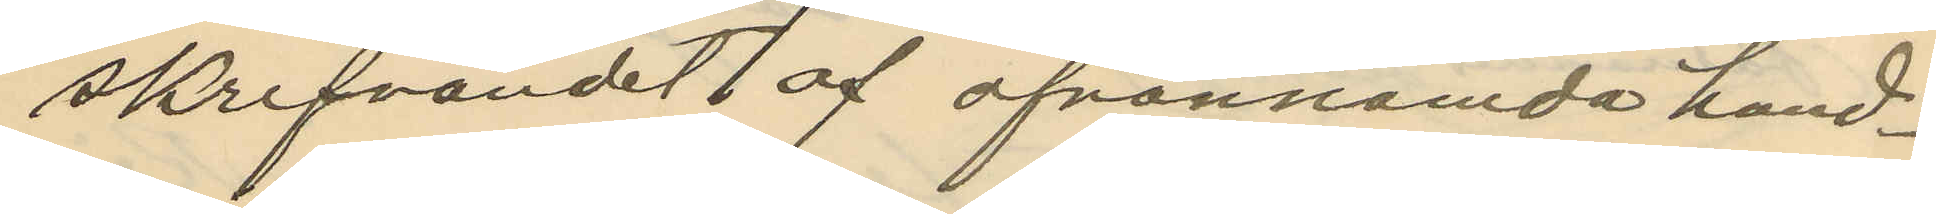skrifvandet af ofvannämda hand¬
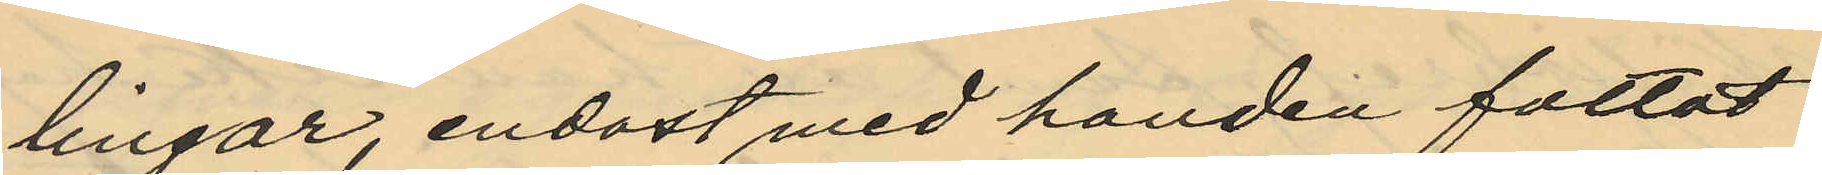lingar, endast med handen fattat
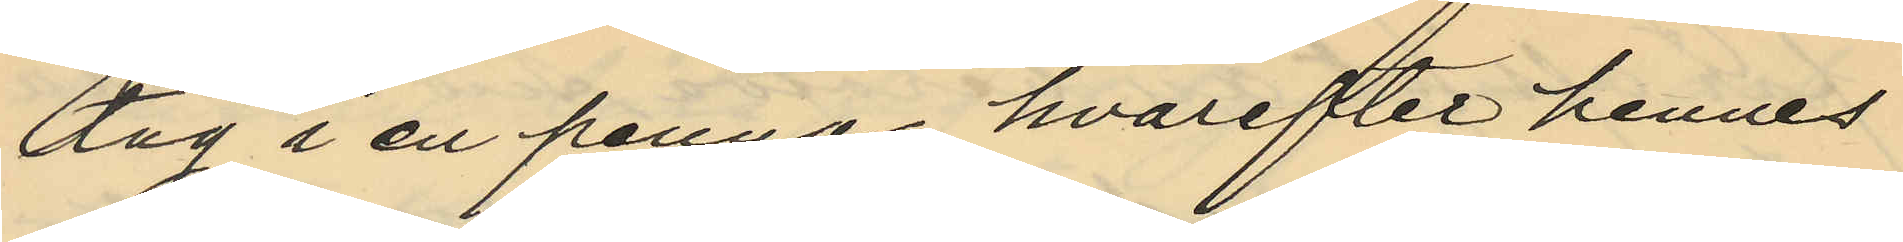dag i en penna, hvarefter hennes
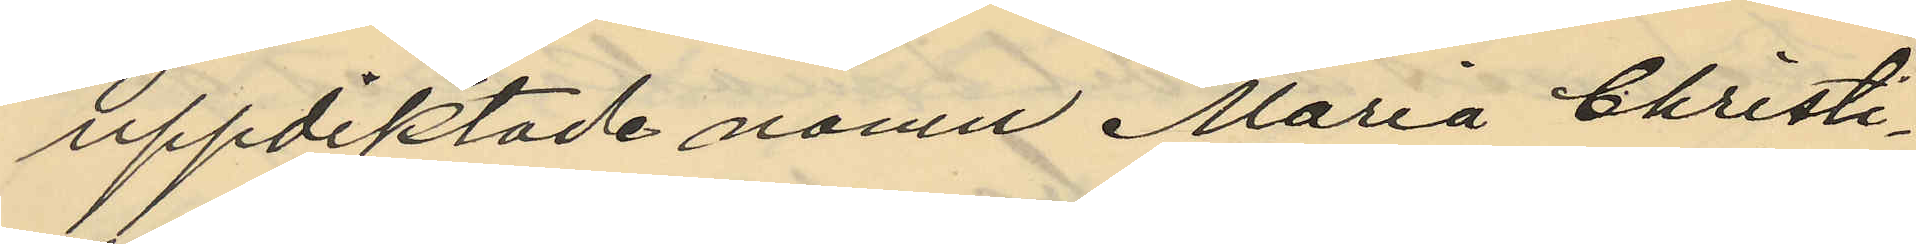uppdiktade namn Maria Christi¬
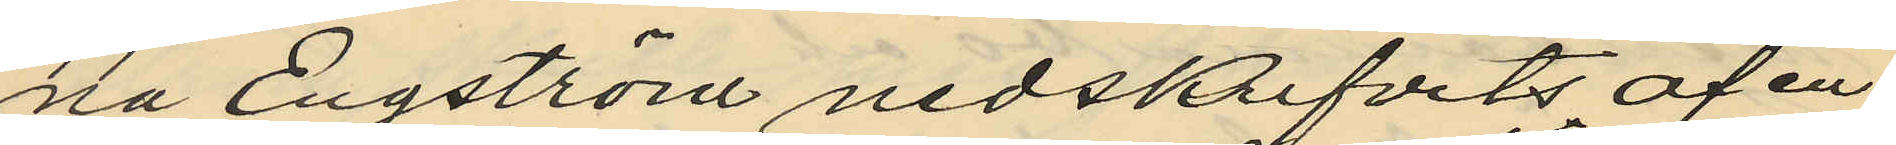na Engström nedskrifvits af en
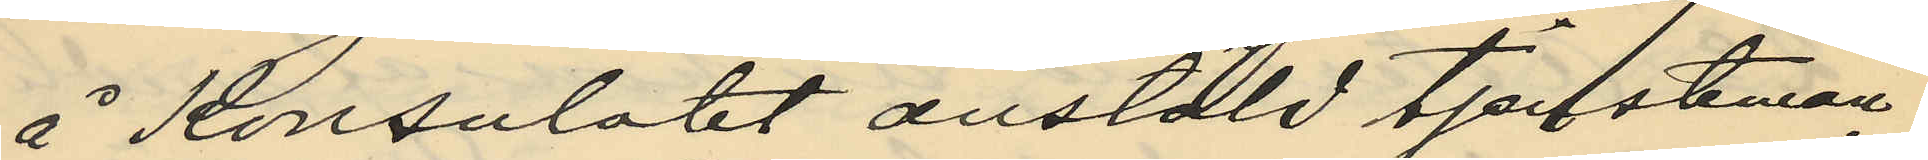å Konsulatet anstäld tjänsteman
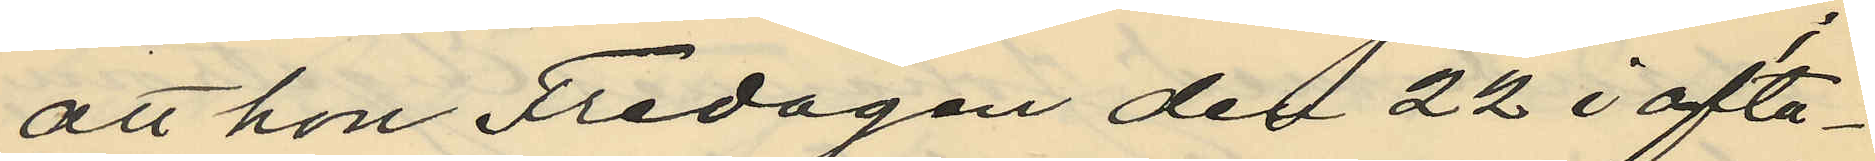att hon Fredagen den 22 i ofta¬
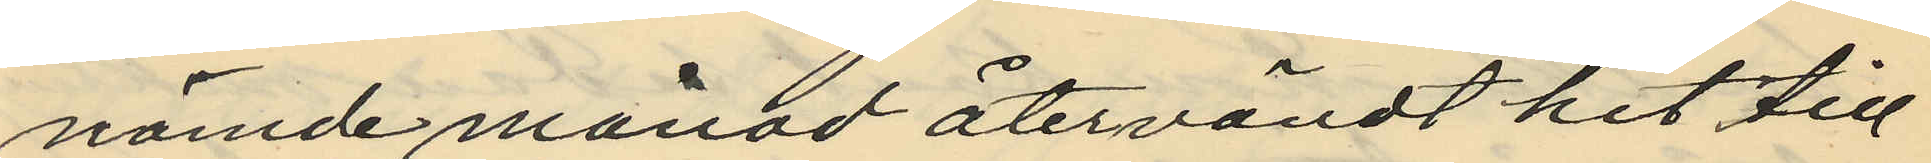nämde månad återvändt hit till
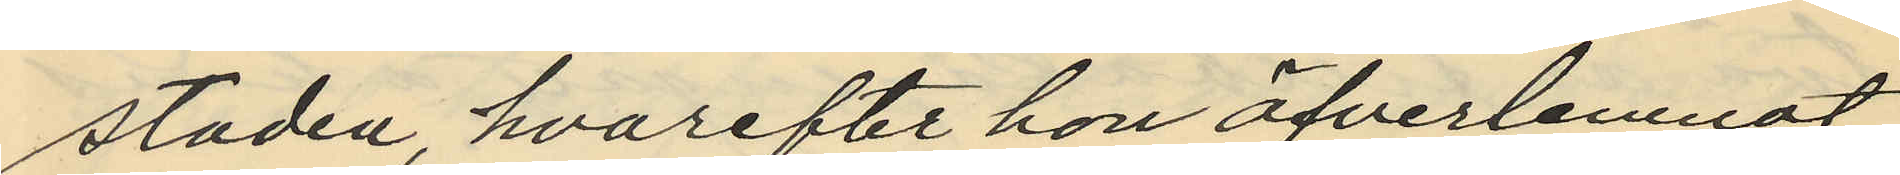staden, hvarefter hon öfverlemnat
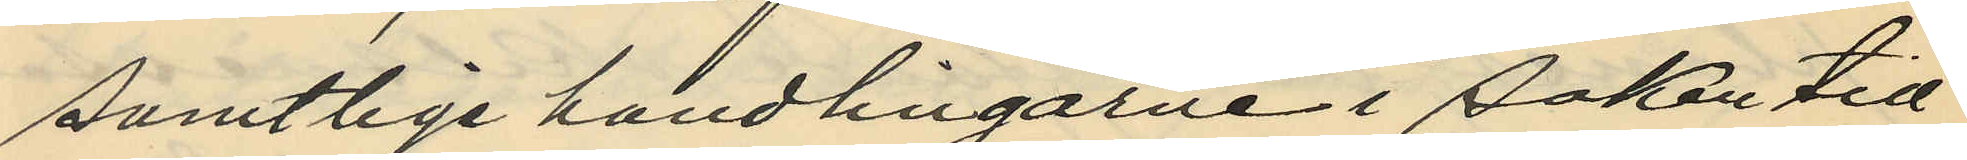samtlige handlingarne i saken till
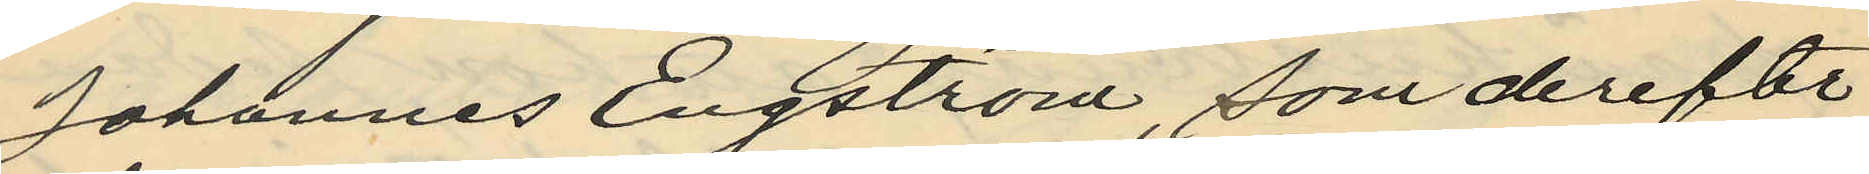Johannes Engström, som derefter
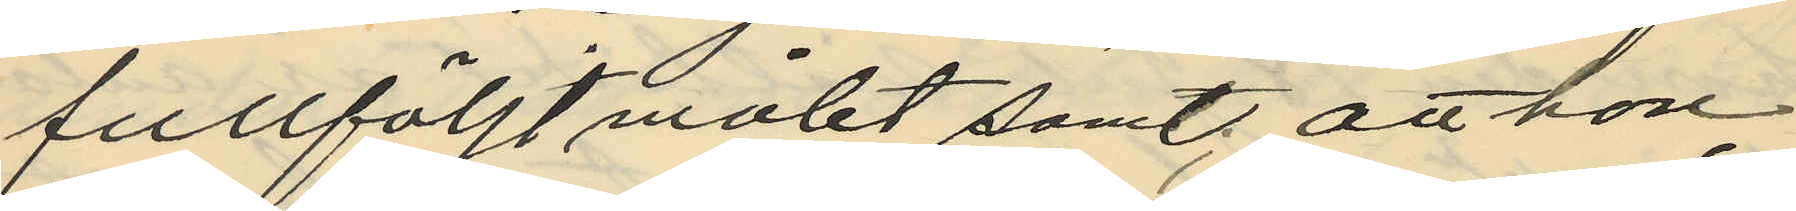fullföljt målet samt, att hon
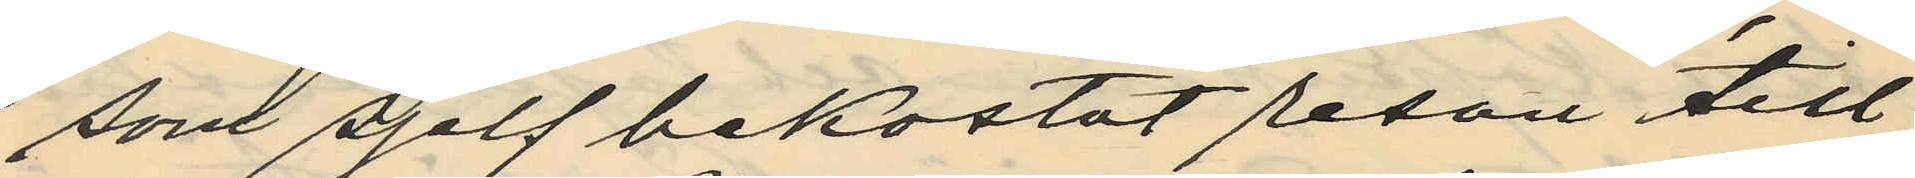som sjelf bekostat resan till
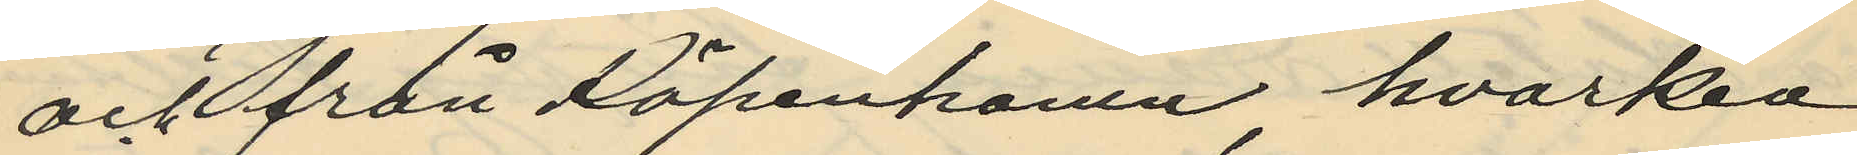och från Köpenhamn, hvarken
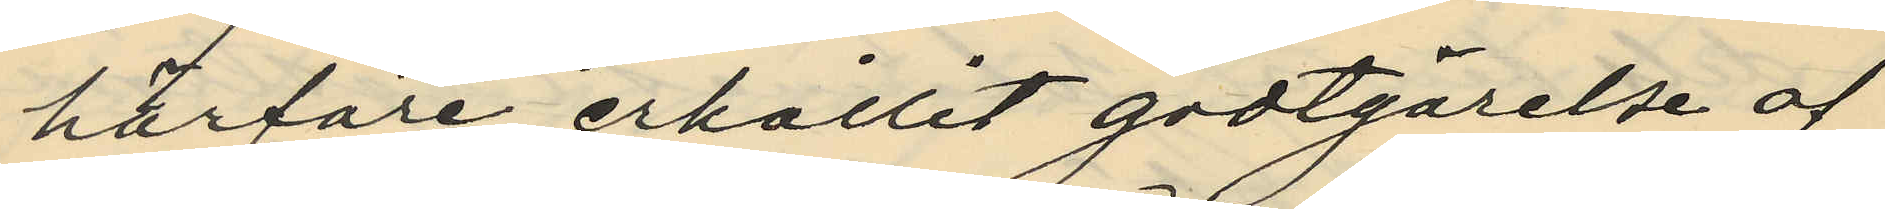härföre erhållit godtgörelse af
